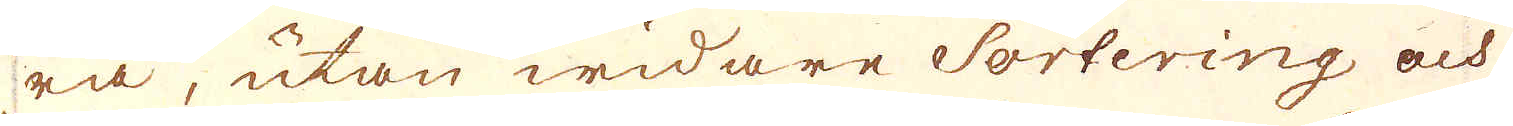ra, utan widare Sortering och
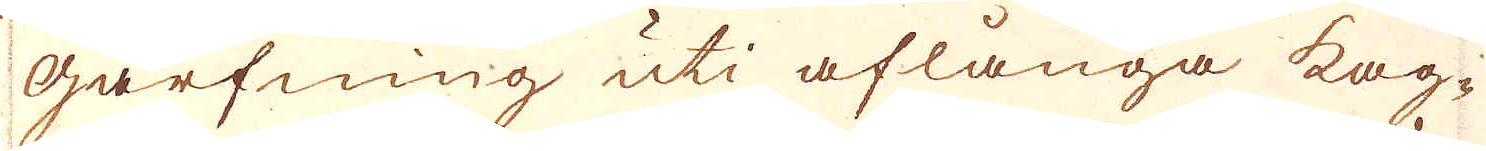Garfning uti aflånga kag-
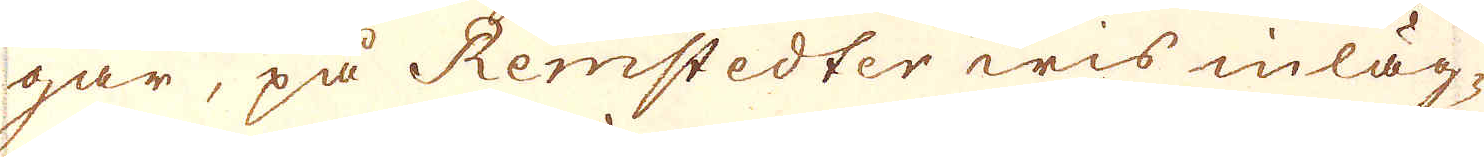gar, på Remstedter wis inläg-
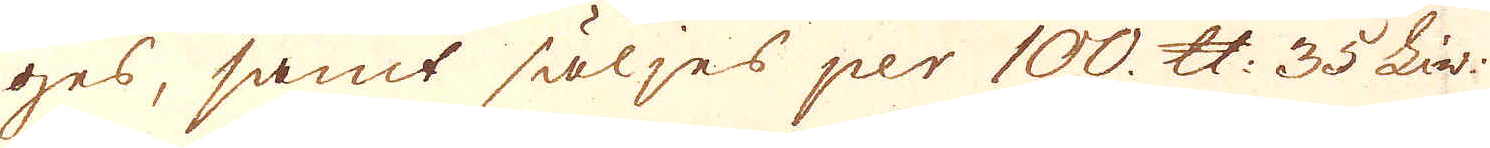ges, samt säljes per 100 skålpund 35 Liv:
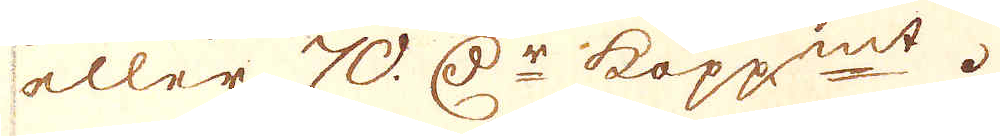eller 70 D:r kopp:mt.
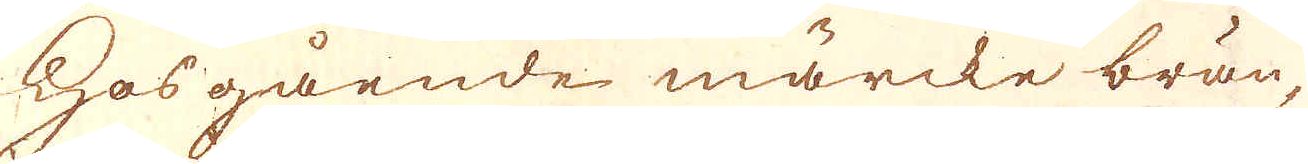Hosgående märcke brän-
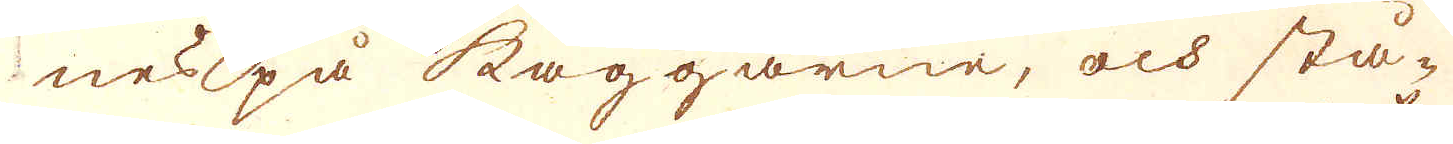nes på kaggarne, och stå-
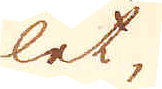let,
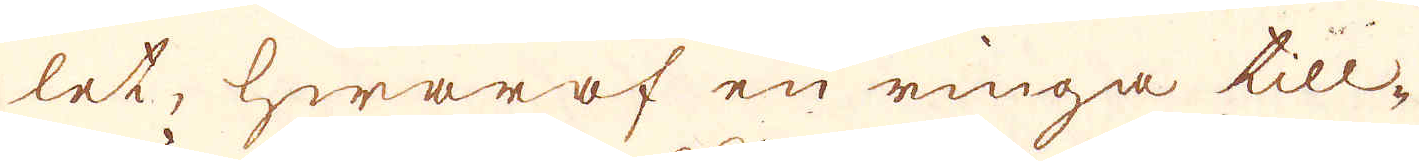let, hwaraf en ringa till-
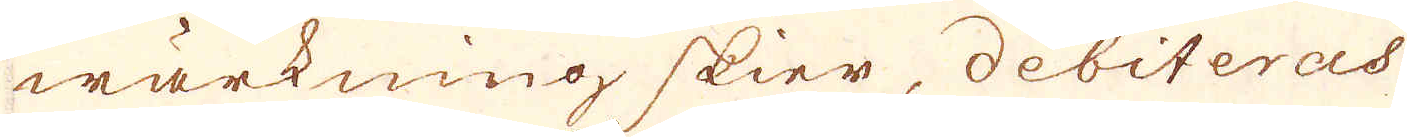wärkning skier, debiteras
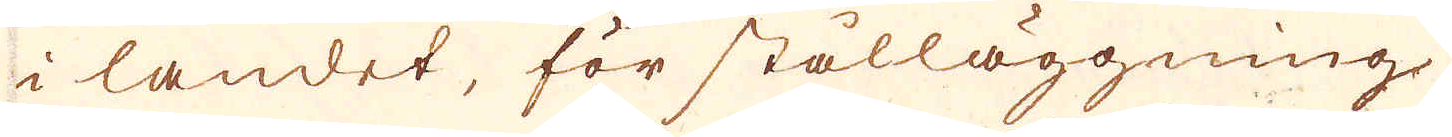i landet, för stålläggning
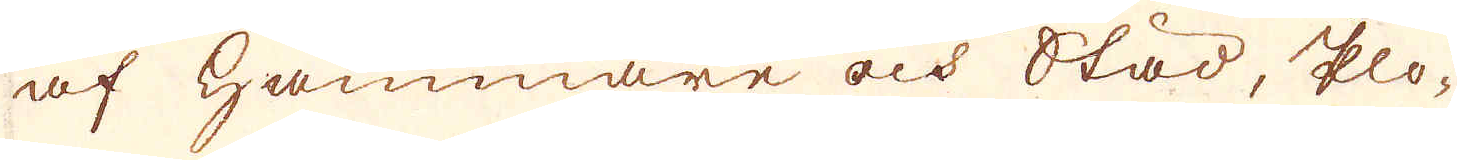af Hammare och Städ, plo-
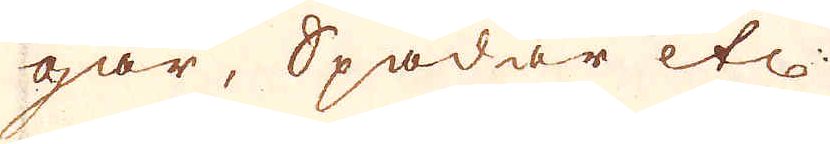gar, Spadar, etc.
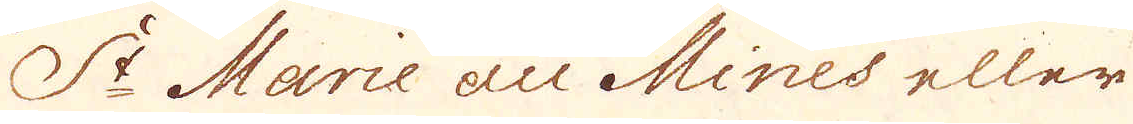S:t Marie au Mines eller
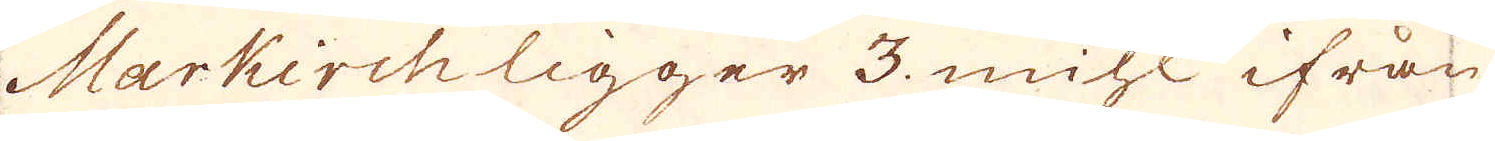Markirch ligger 3 mihl ifrån
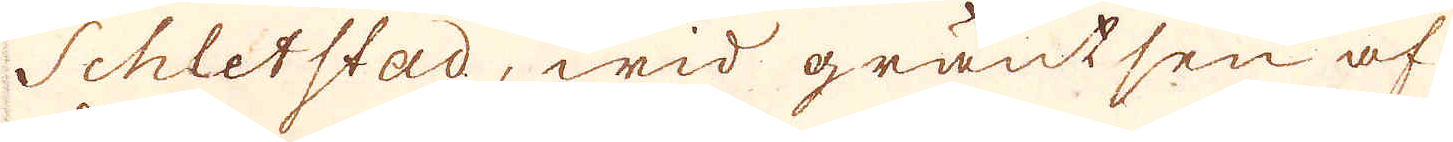Schletstad, wid gräntsen af
